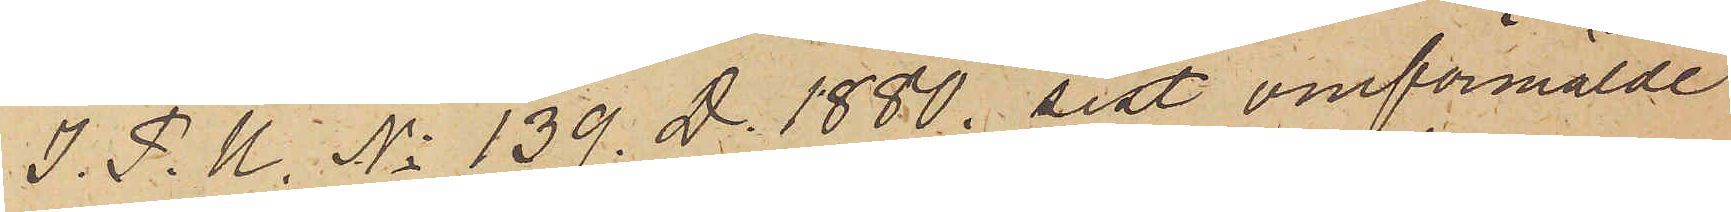I. P. U. No 139. D. 1880. sist omförmälde
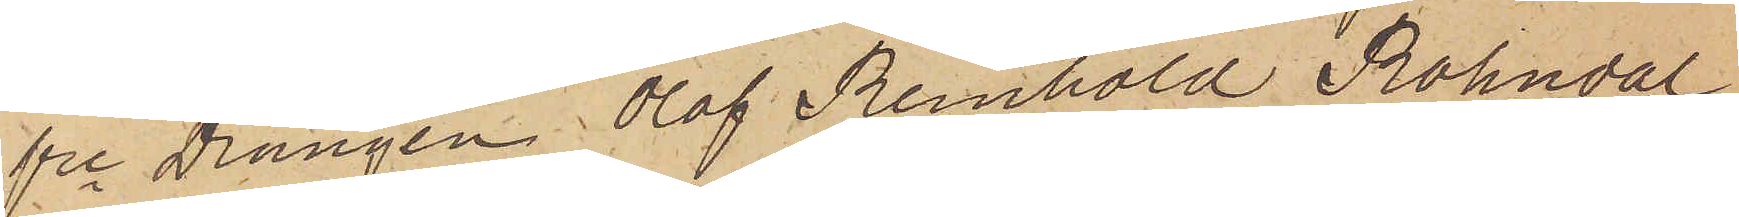fre Drängen Olof Reinhold Rohndal
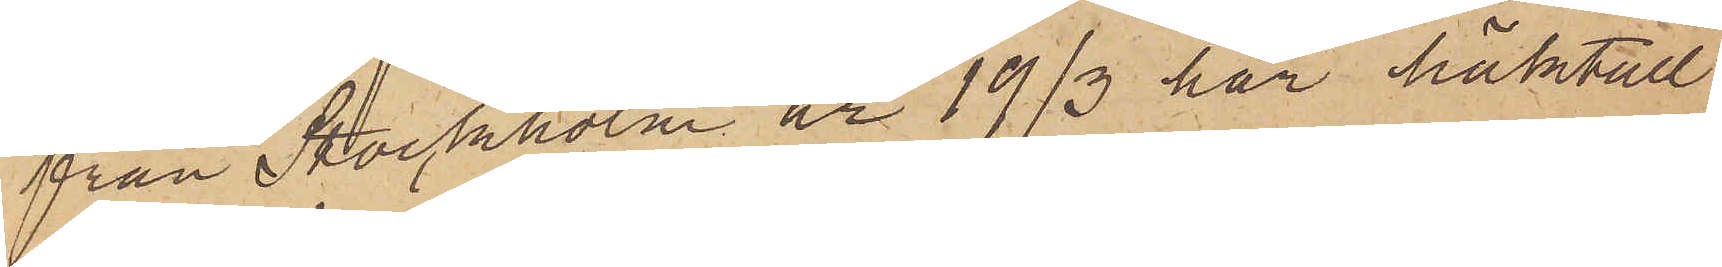från Stockholm är 19/3 här häktad
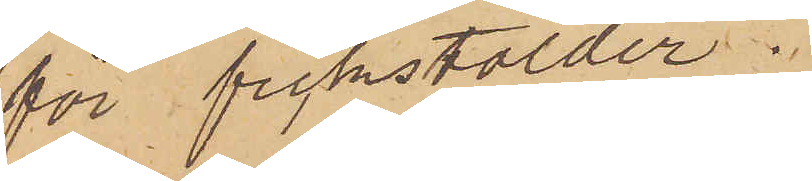för fickstölder.
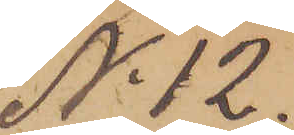No 12.
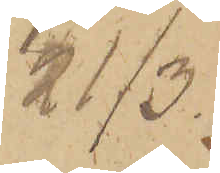21/3.
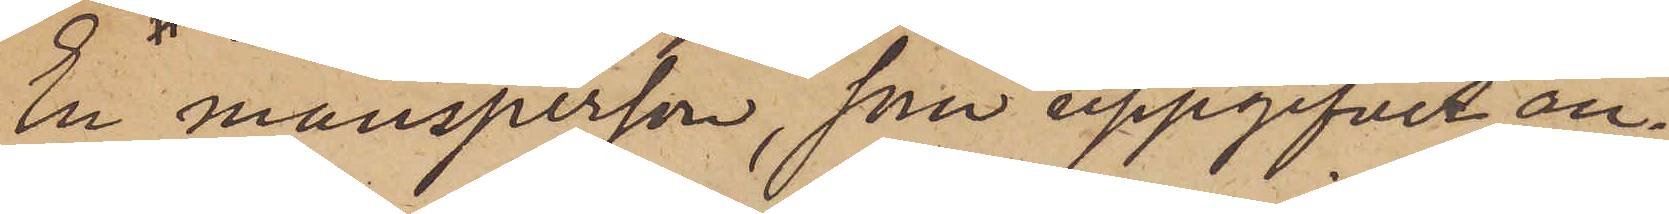En mansperson, som uppgifves an¬
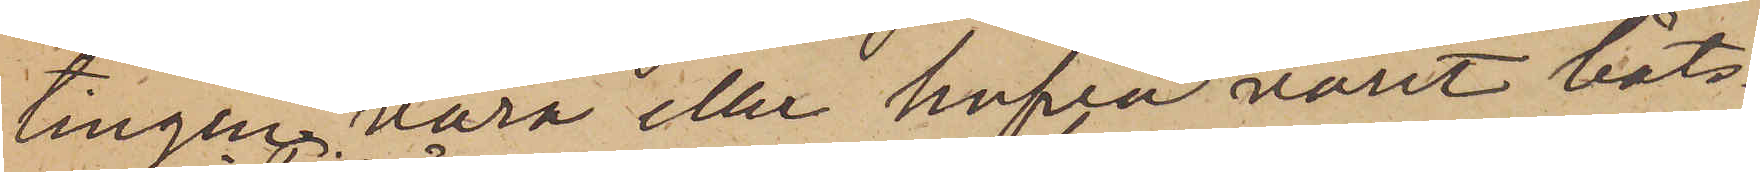tingen vara eller hafva varit båts¬
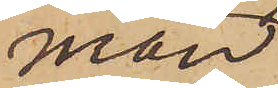man
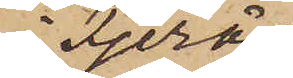i Fjerås
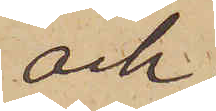och
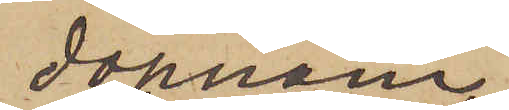dopnam¬
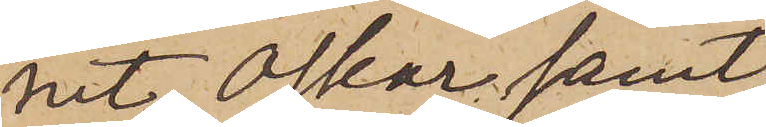net Oskar samt
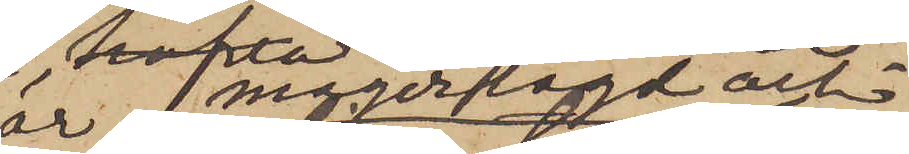än magerlagd och
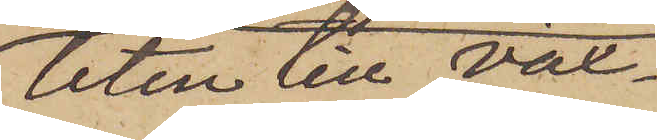liten till väx¬
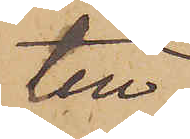ten,
